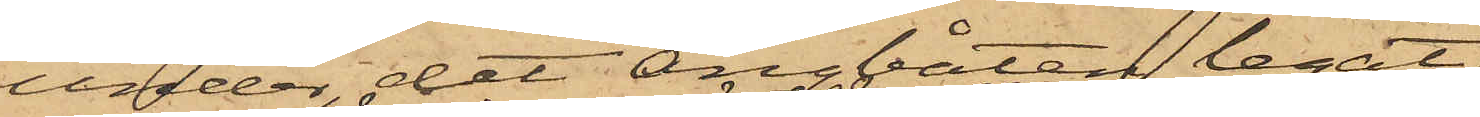under det Ångbåten legat
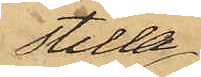stilla
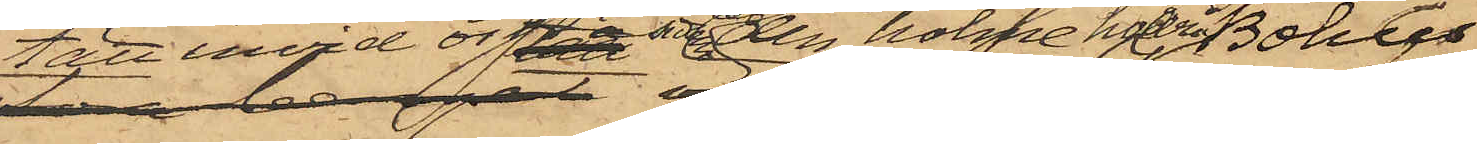tätt invid östra sidan af den holme hvarpå Bohus
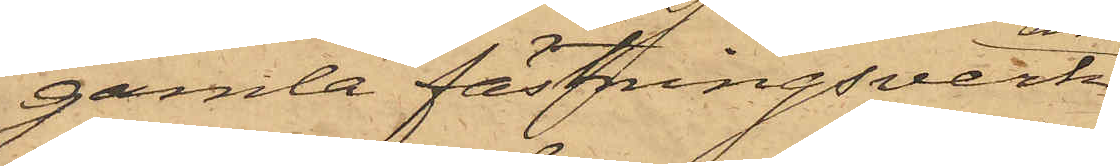gamla fästningsverk
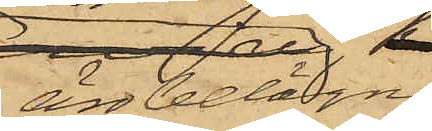 äro belägne
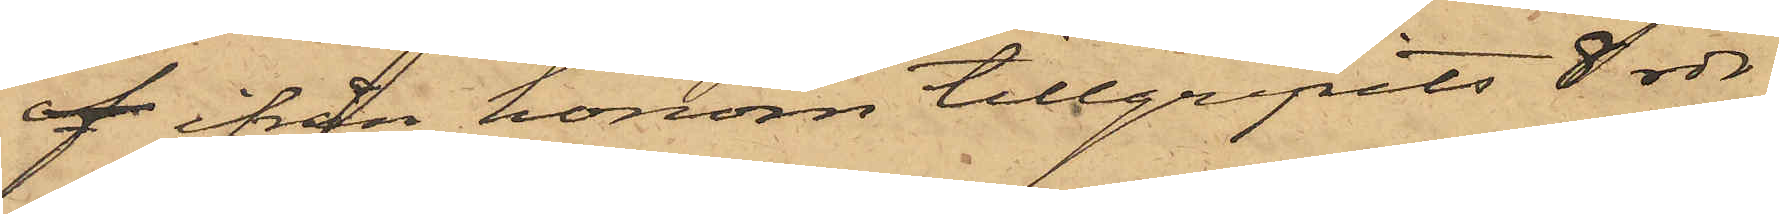af ifrån honom tillgripits 8 rdr
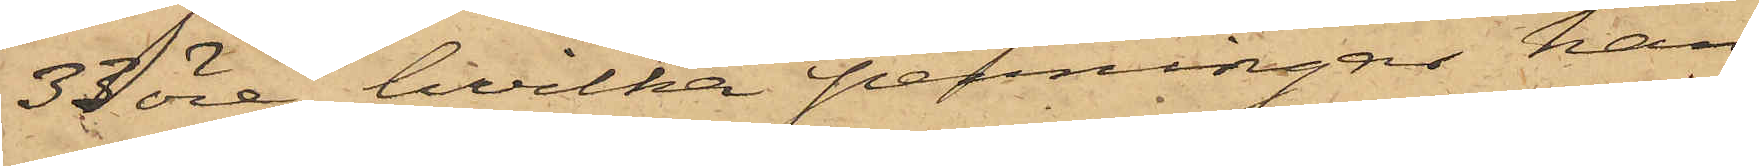33 öre, hvilka penningar han
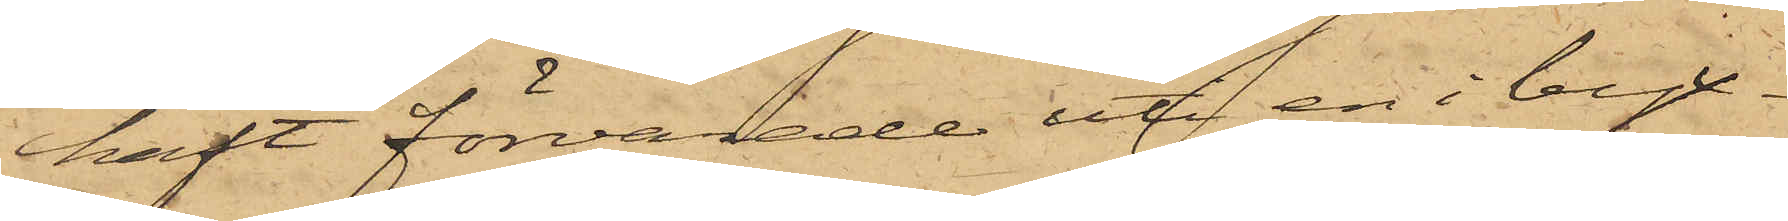haft förvarade uti en i byx¬
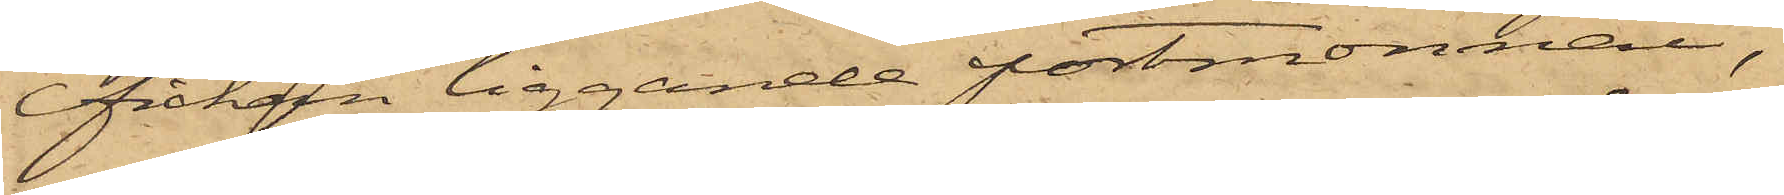fickan liggande portmonnai,
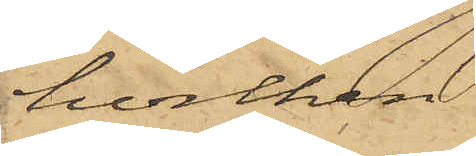hvilken
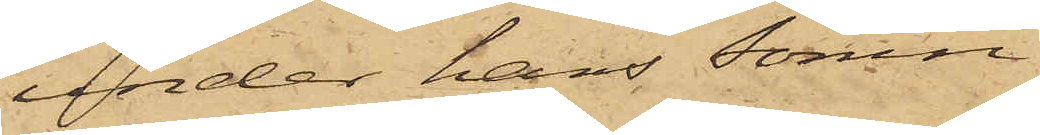under hans sömn
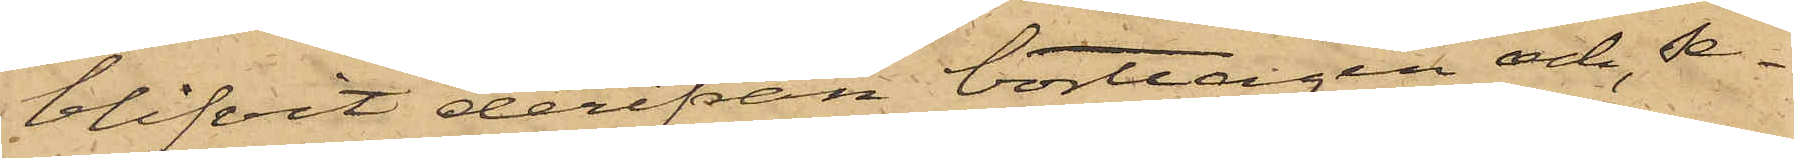blifvit derifrån borttagen och, se¬
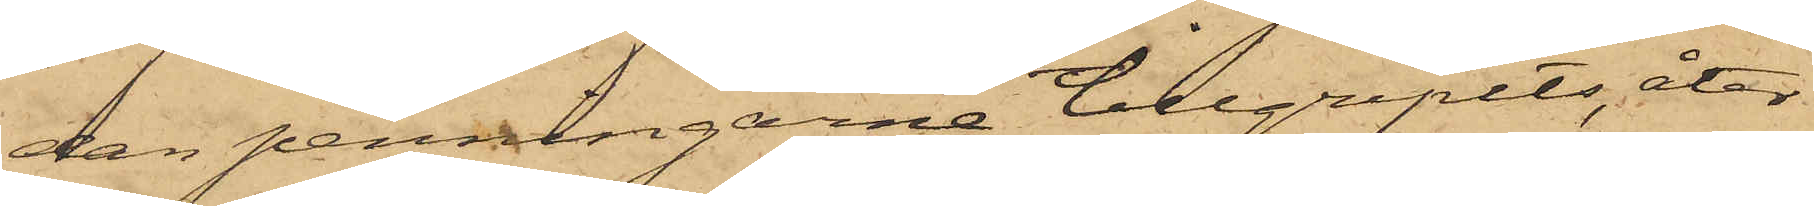dan penningarne tillgripits, åter
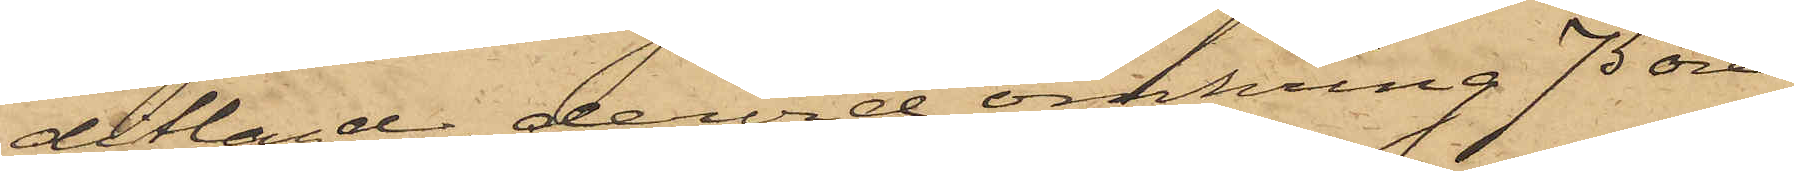ditlagd, dervid omkring 75 öre
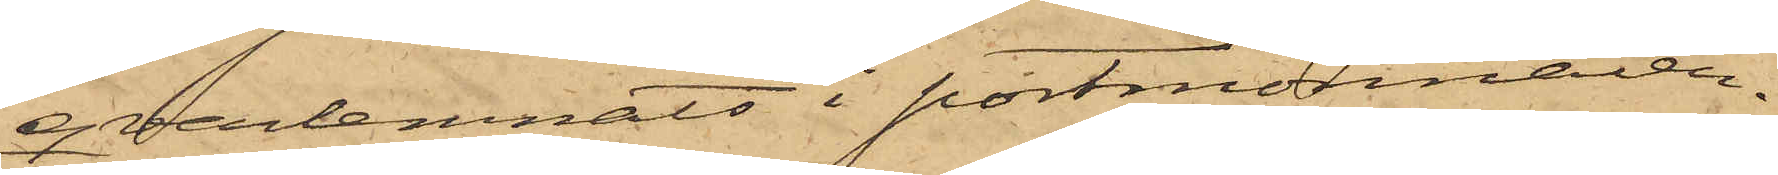qvarlemnats i portmonnaien.
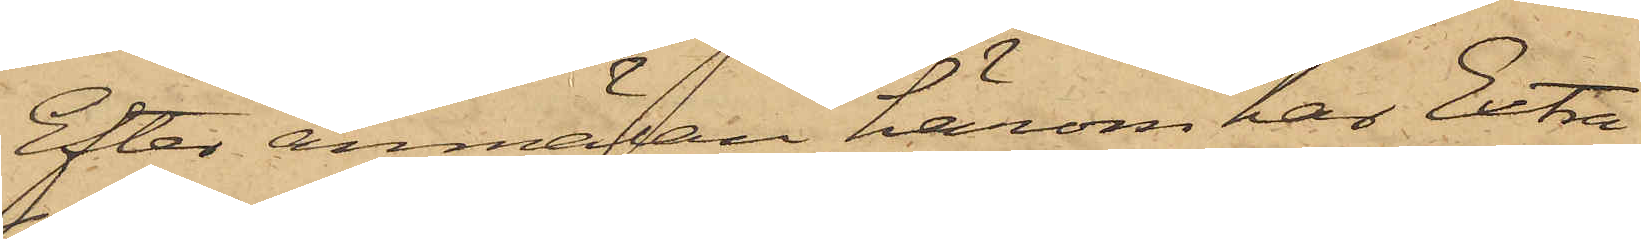Efter anmälan härom har Extra
